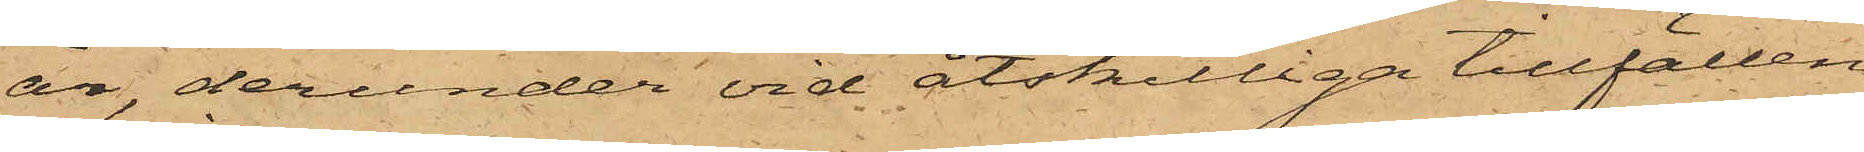år, derunder vid åtskilliga tillfällen
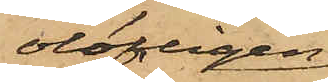olofligen
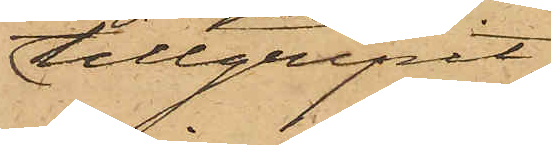tillgripit
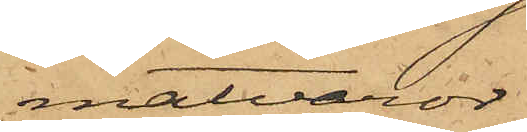matvaror
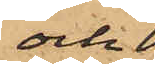och
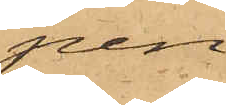pen¬
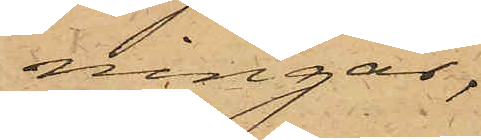ningar,
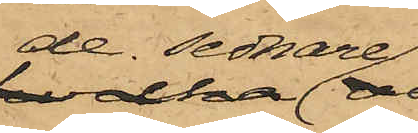de sednare
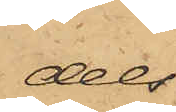dels
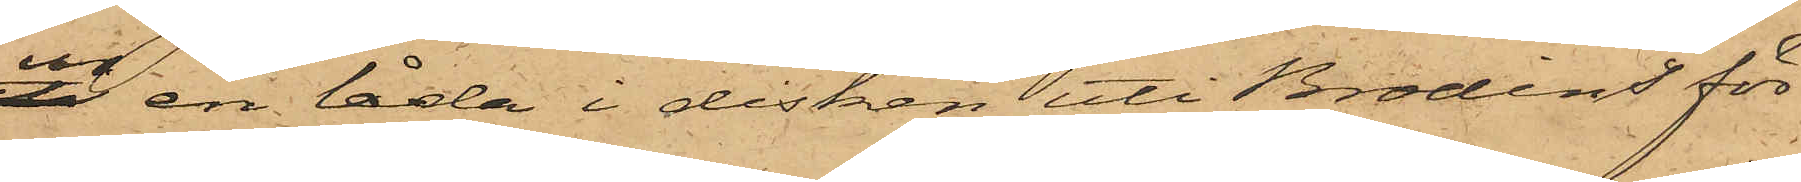ur en låda i disken uti Brodins för¬
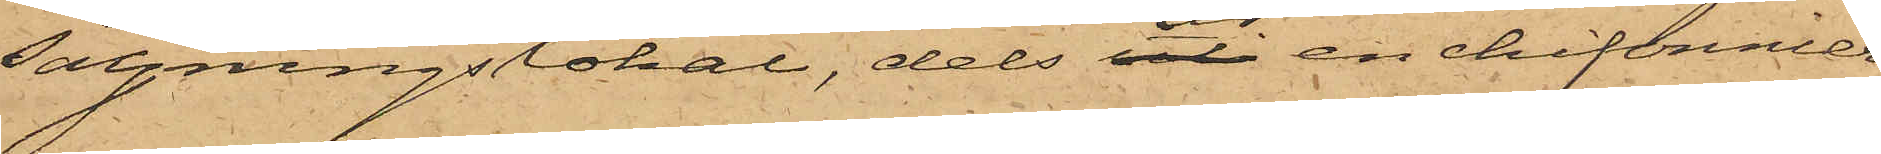säljningslokal, dels ur en chiffonnier
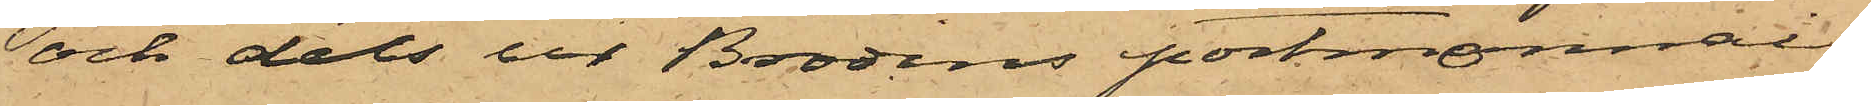och dels ur Brodens portmonnai;
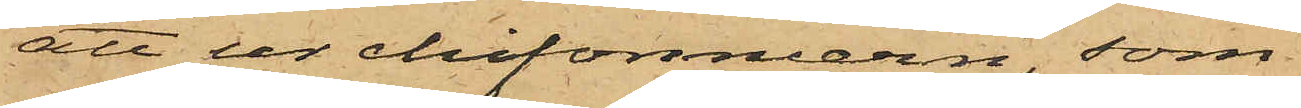att ur chifonniern, som
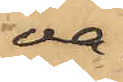va¬
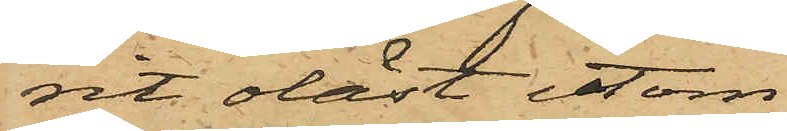rit olåst utom
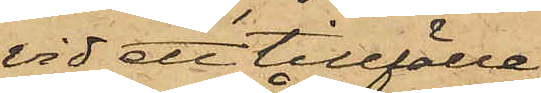vid ett tillfälle,
